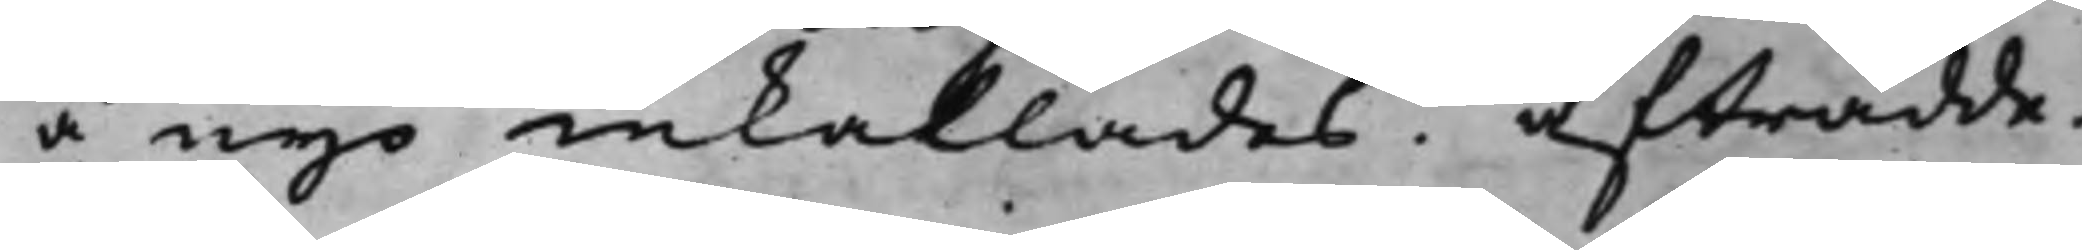å nyo inkallades. Afträdde.
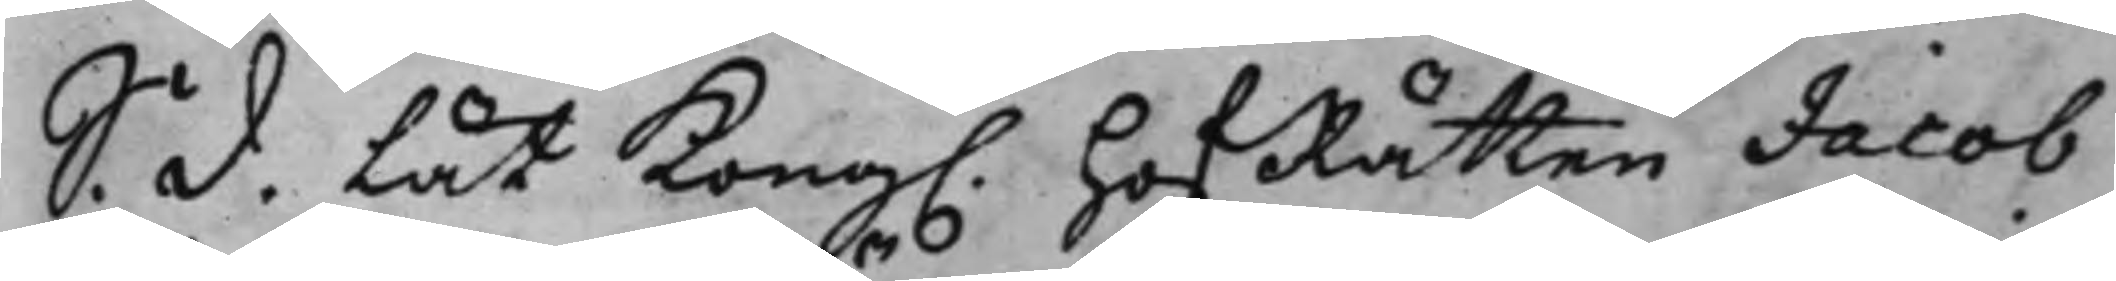S: d. Lät Kong. HofRätten Jacob
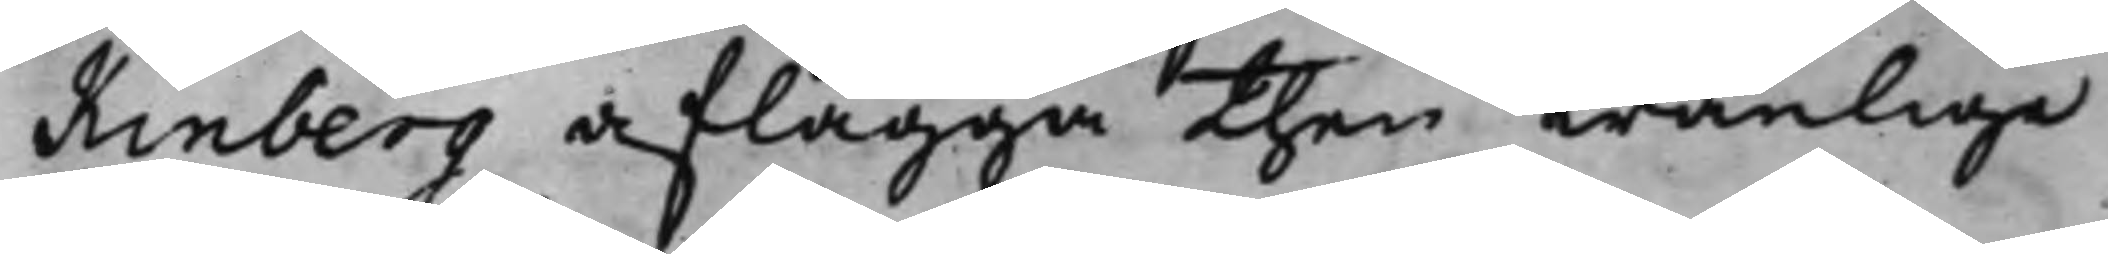Kinberg aflägga ten wanlige
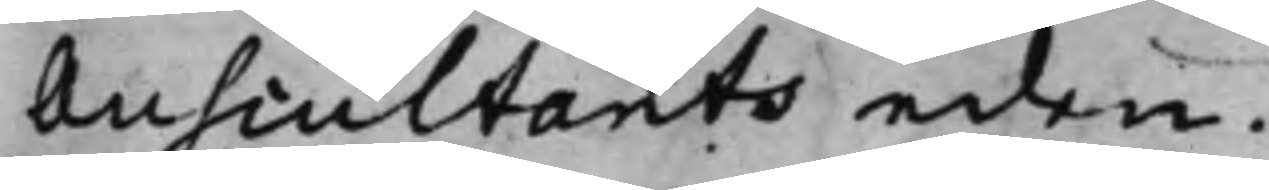Auscultants eden.
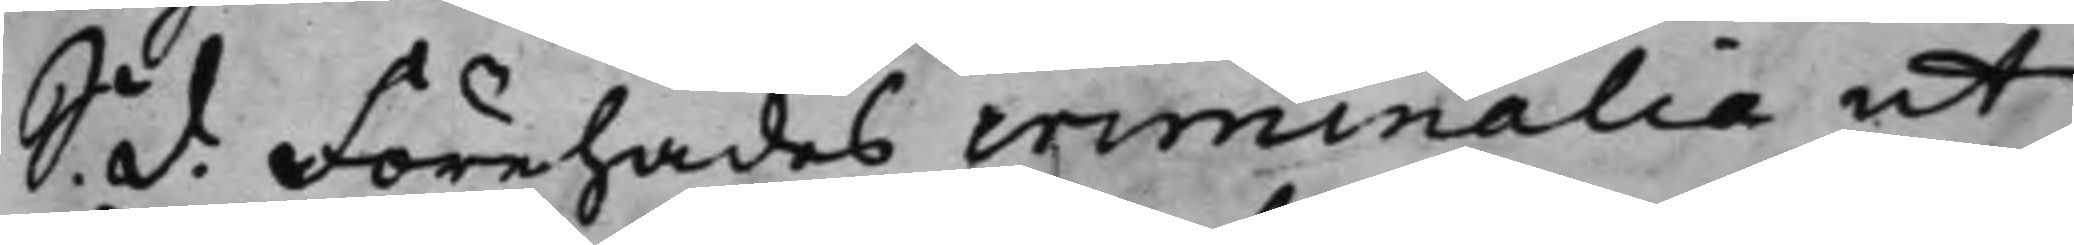S: d. Förehades criminalia ut
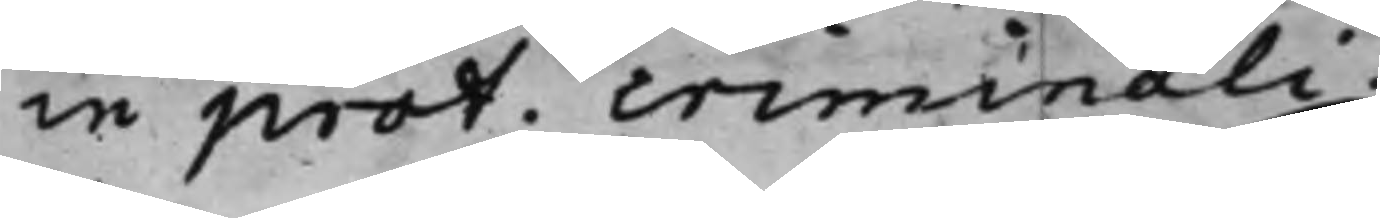in prot. criminali.
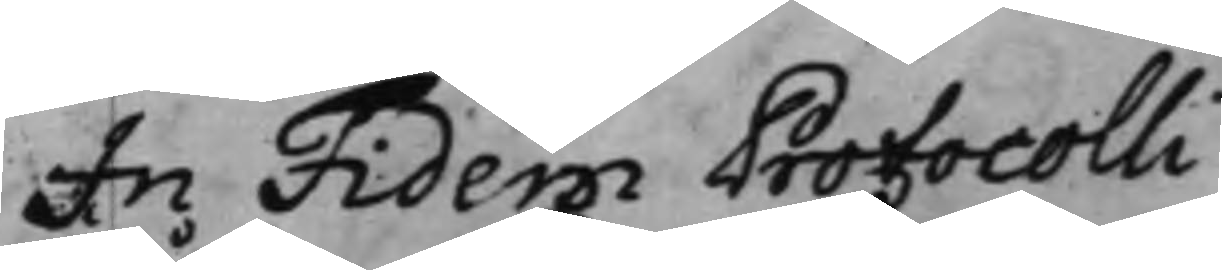In Fidem Protocolli
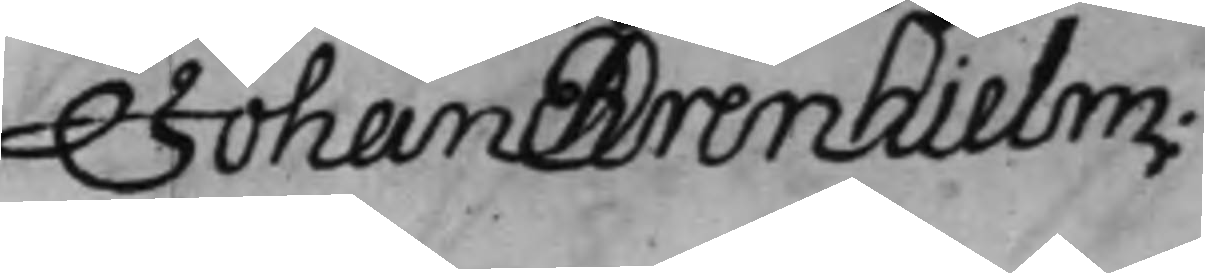Johan Ehrenhielm
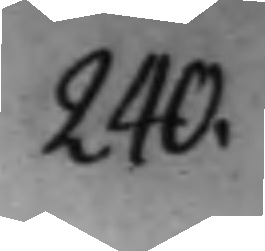240.
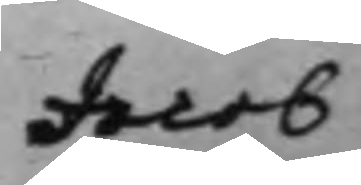Jacob
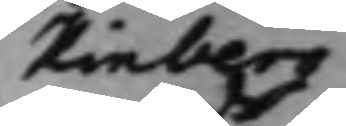Kinberg
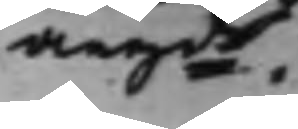angde.
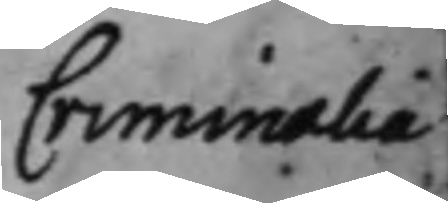Criminalia
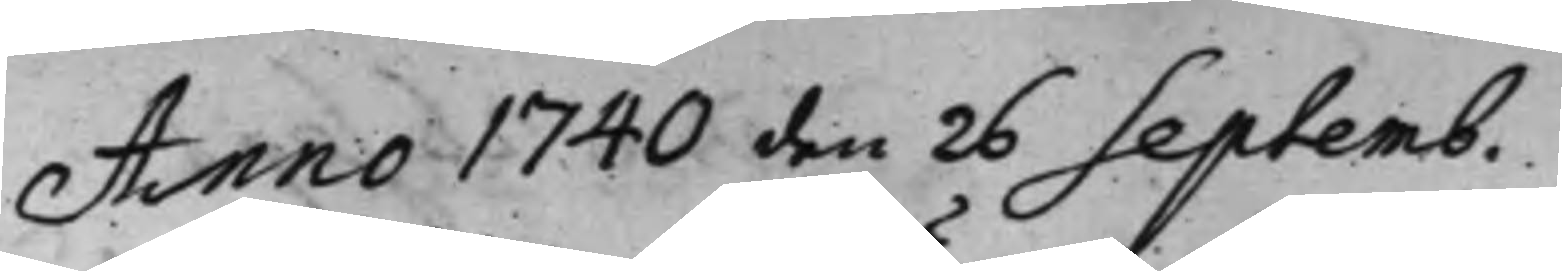Anno 1740 den 26 Septemb.
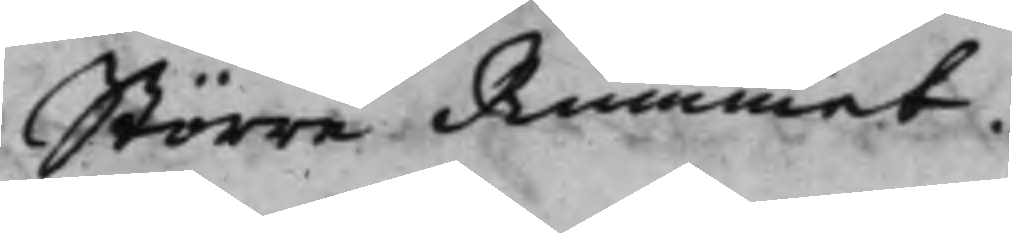Större Rummet.
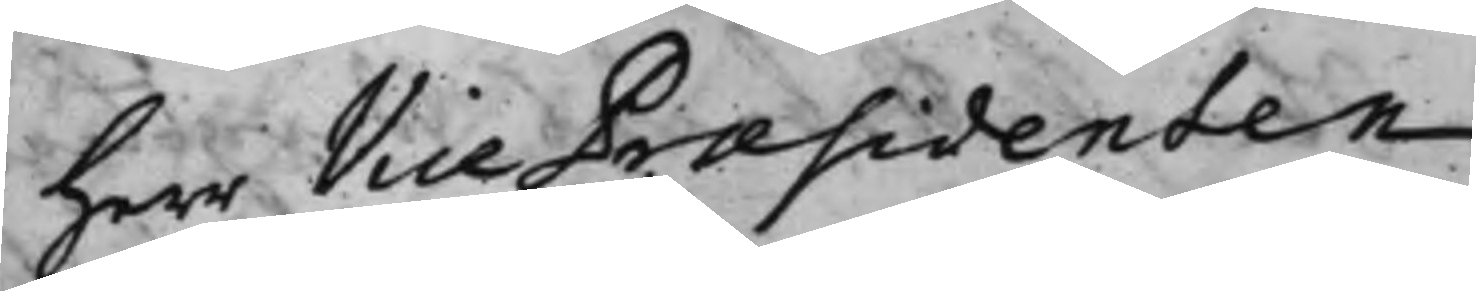Herr Vice Præsidenten
